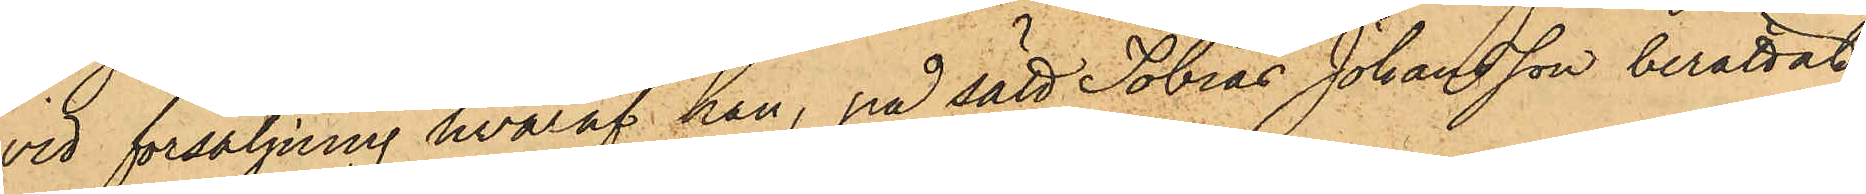vid försäljning hvaraf han, på sätt Tobias Johansson berättat,
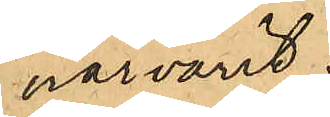närvarit;
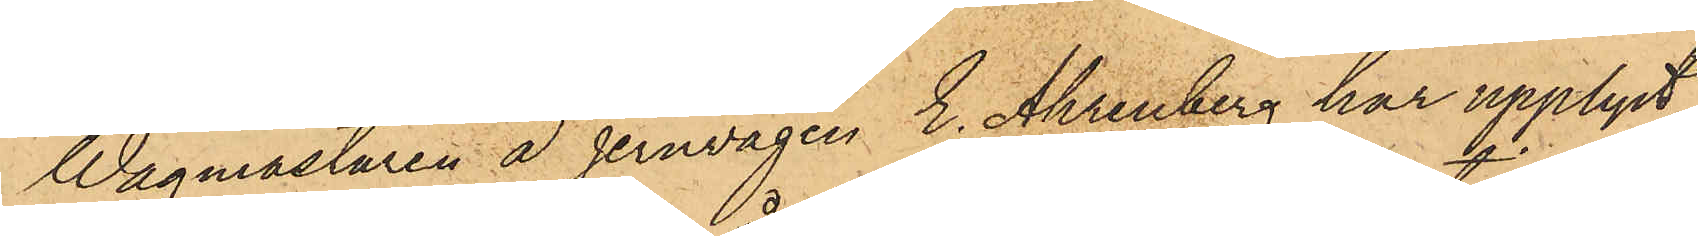Wågmästaren å Jernvågen E. Ahrenberg har upplyst,
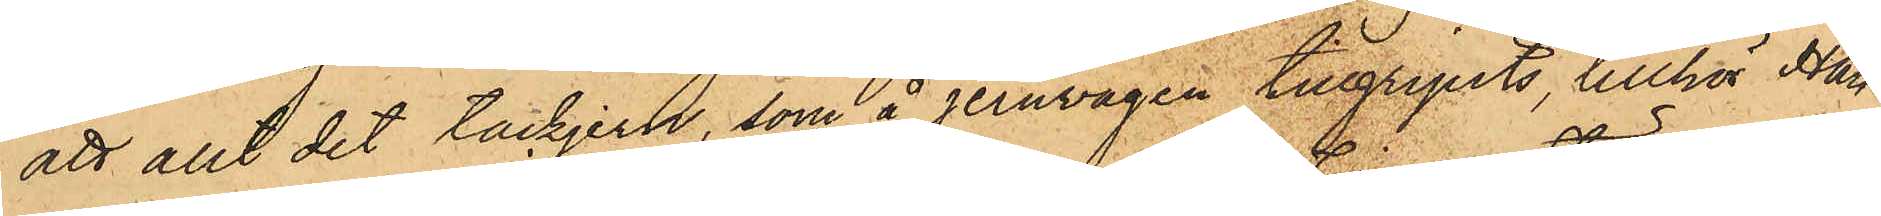att allt det tackjern, som å jernvågen tillgripits, tillhör Han¬
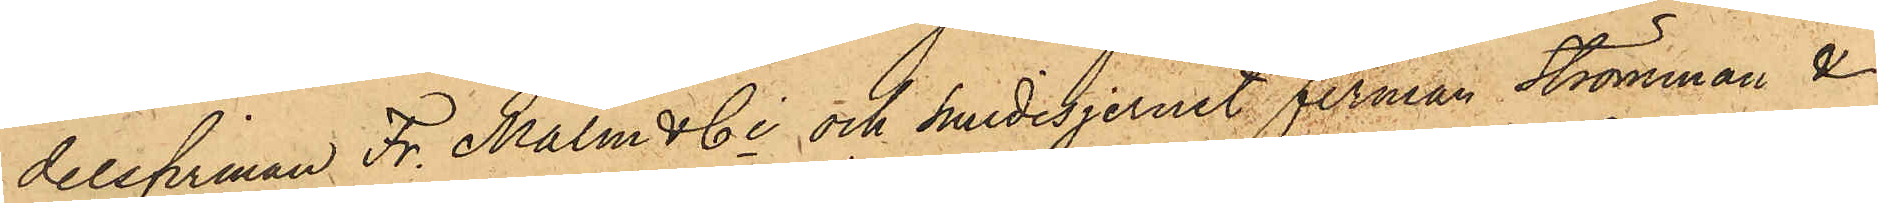delsfirman Fr. Malm & Ci och smidesjernet firman Strömman &
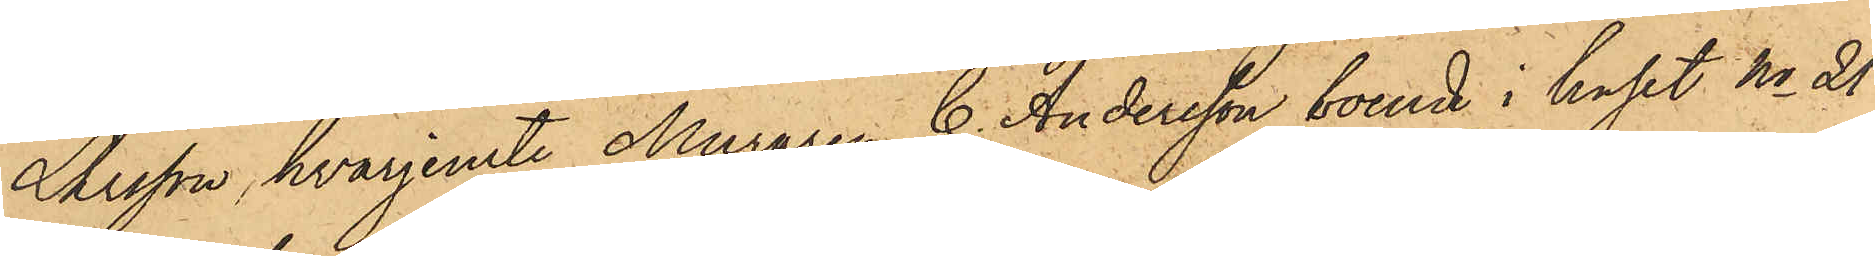Larsson, hvarjemte Muraren C. Andersson, boende i huset No 21
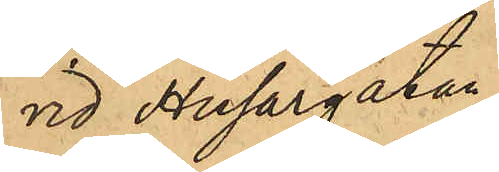vid Husargatan
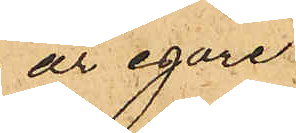är egare
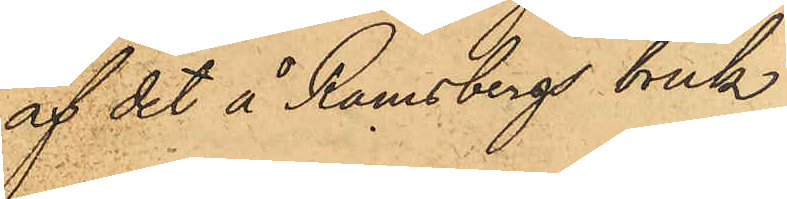af det å Ramsbergs bruk
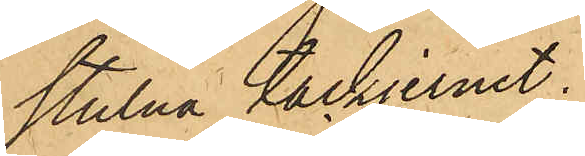stulna tackjernet.
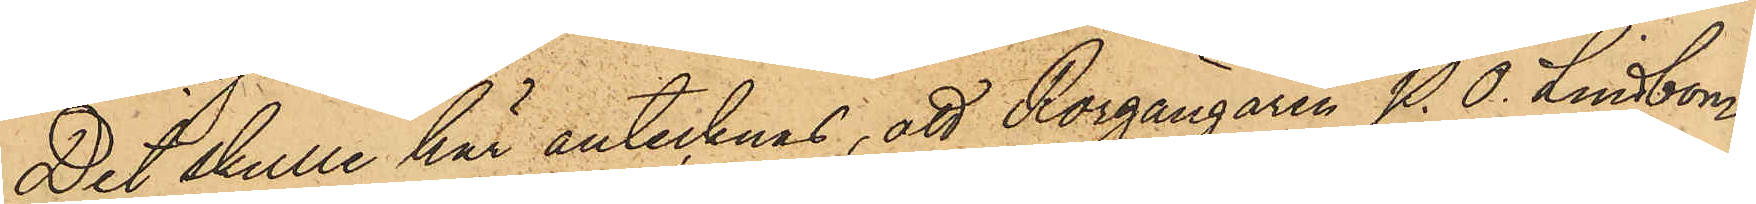Det skulle här antecknas, att Rorgängaren P. O. Lindbom
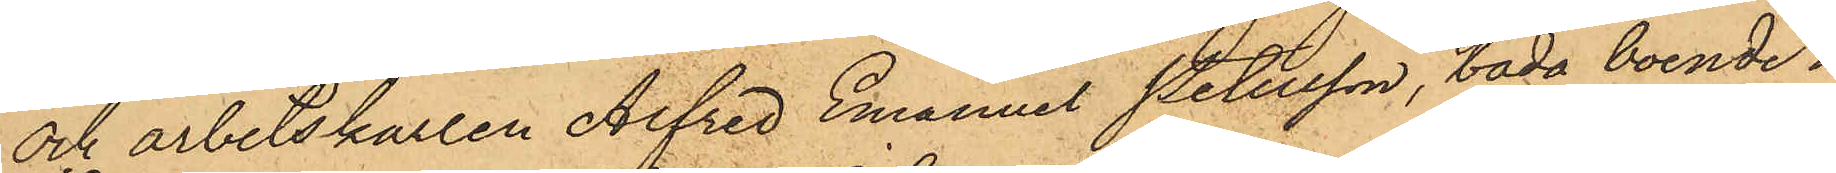och arbetskarlen Alfred Emanuel Petersson, båda boende i
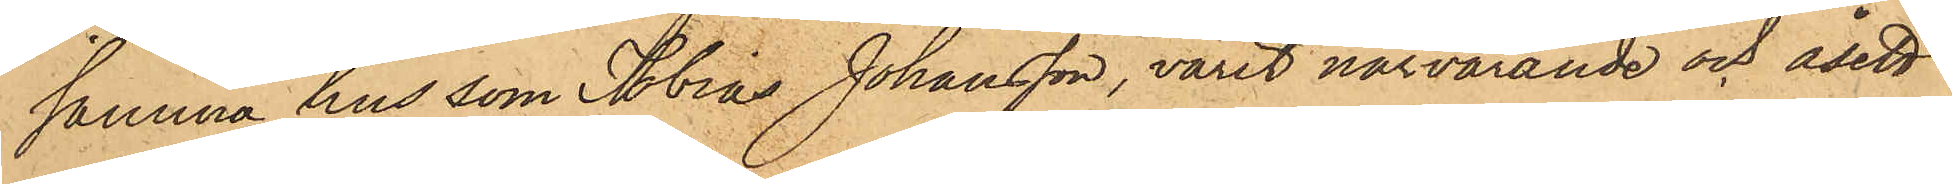samma hus som Tobias Johansson, varit närvarande och åsett
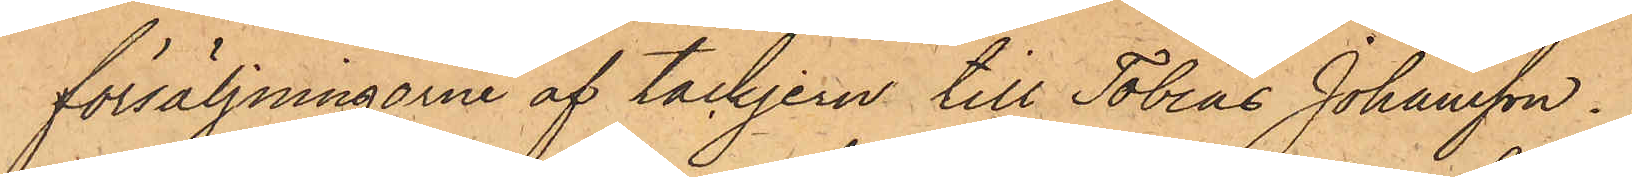försäljningarne af tackjern till Tobias Johansson.
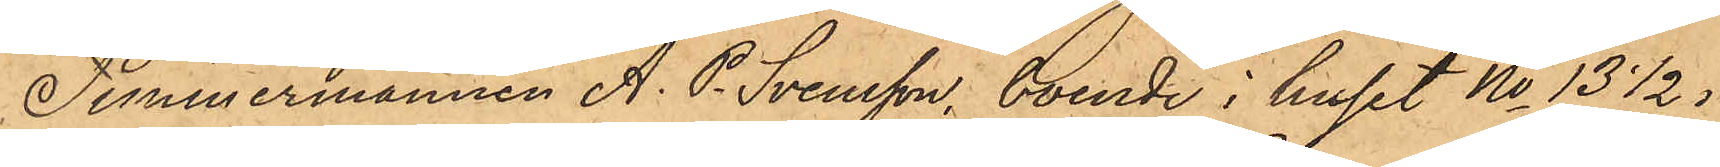Timmermannen A. P. Svensson, boende i huset No 13 1/2 i
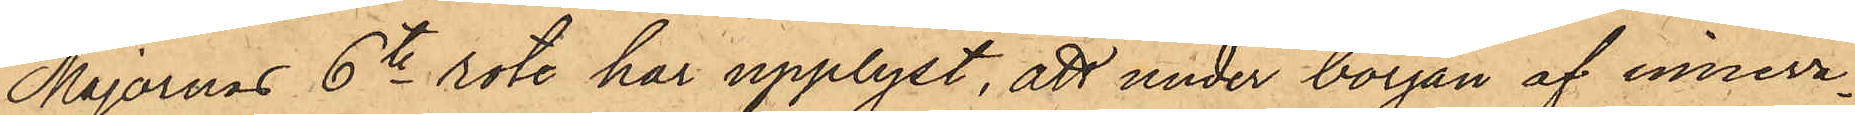Majornas 6te rote har upplyst, att under början af inneva¬
